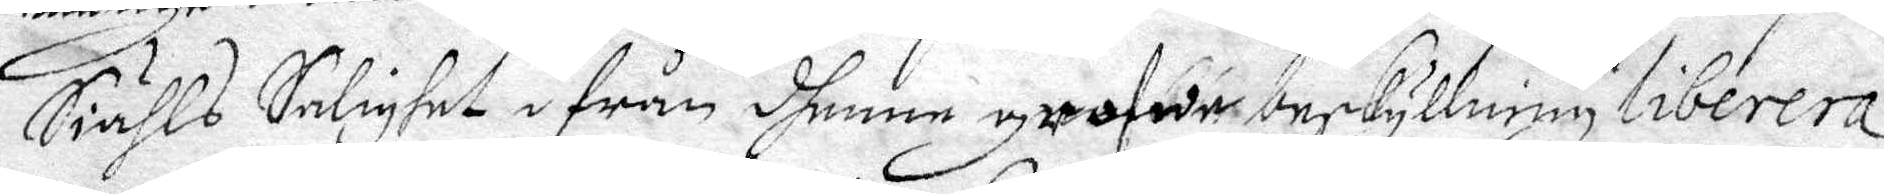Siähls Salighet ifrån dhenne grofwe beskyllning liberera
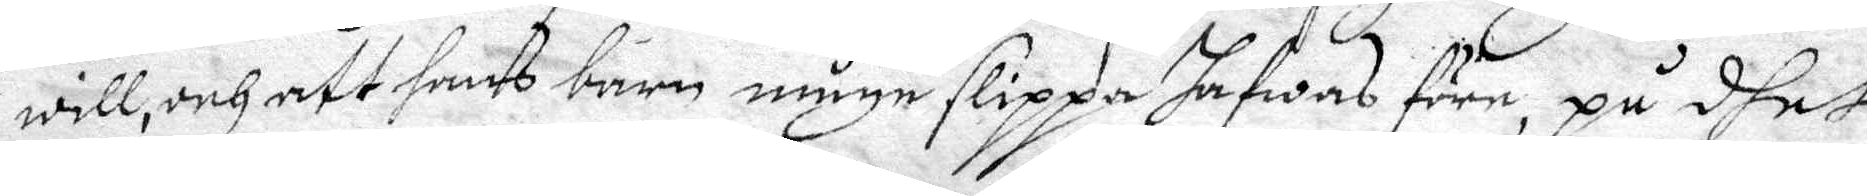will, och att hans barn, måge slippa hafwas före, på dhet
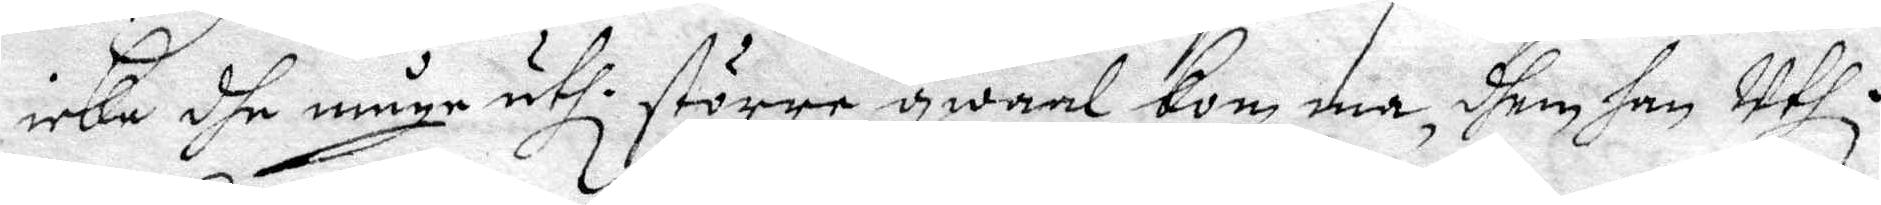icke dhe måge uthi större gwaal Komma, dhem han Uthi
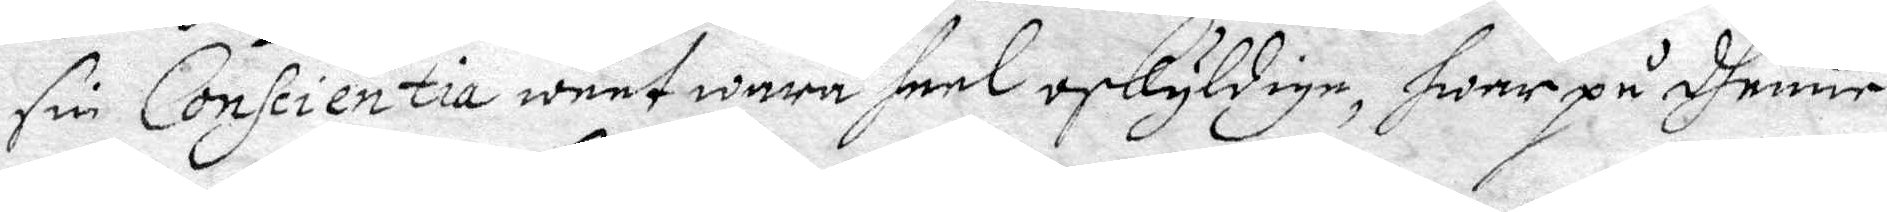sin Conscientia weet wara heel oskyldige, hwar på dhenne
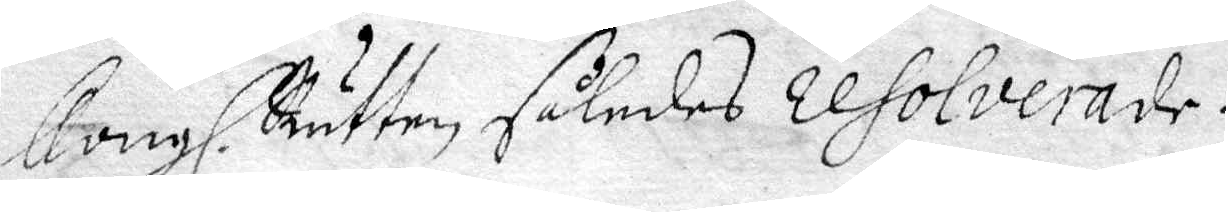Kongl. Rätten således resolverade.
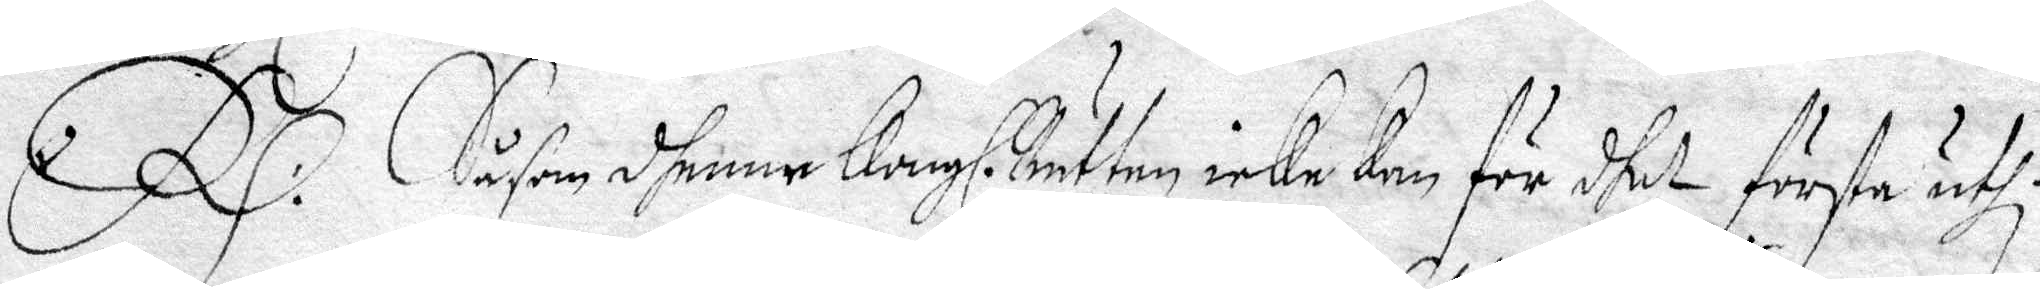RS: Såsom dhenne Kongl. Rätten icke kan för dhet första uthi
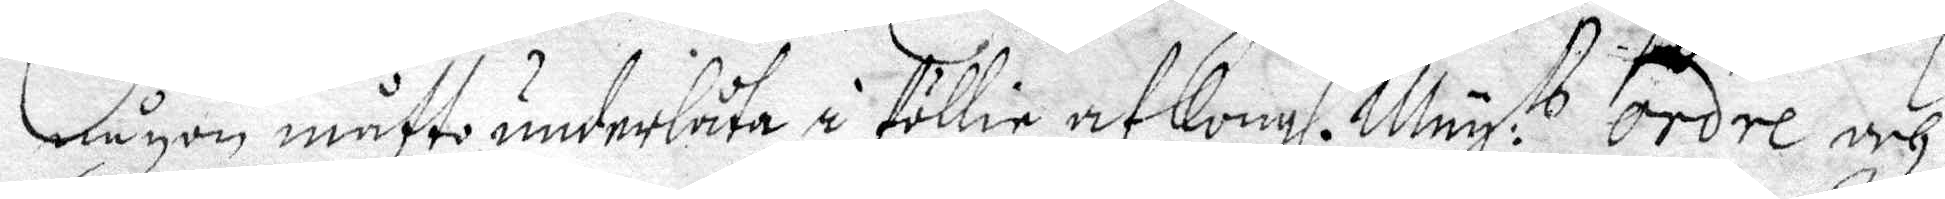någon måtto underlåta å föllie af Kongl. May:tt ordre och
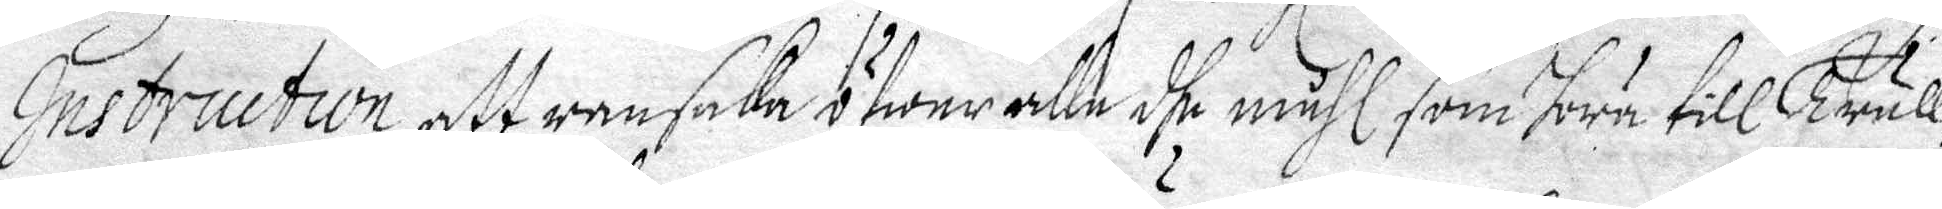Instruction, att ransaka öfwer alle dhe måhl som höra till Trull¬
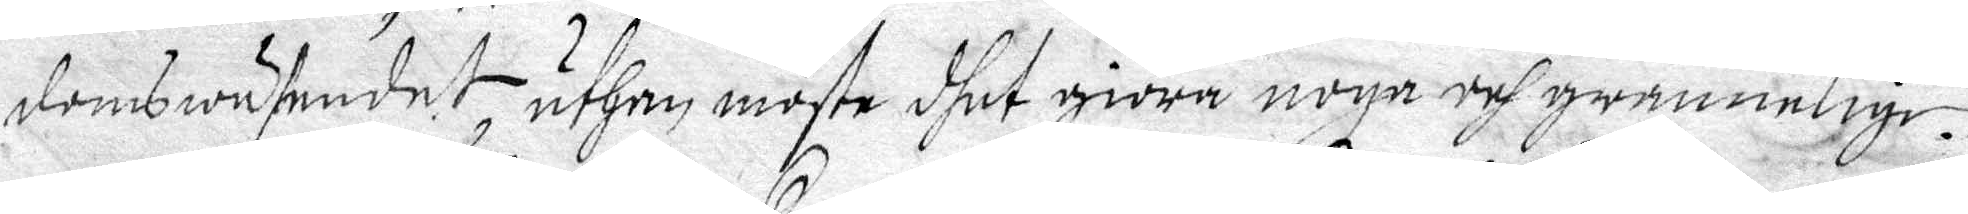domswäsendet uthan moste dhet giöra noga och grannelige.
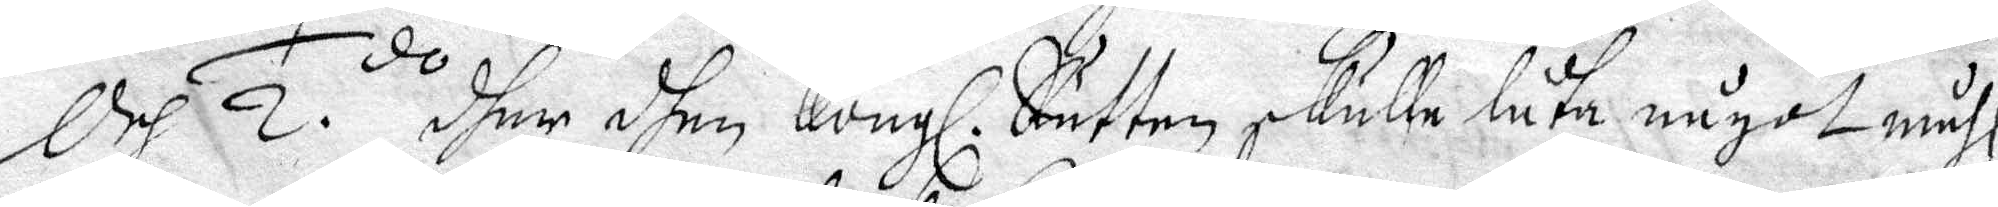Och 2.do  dhem dhen Kongl: Rätten skulle låta något måhl,
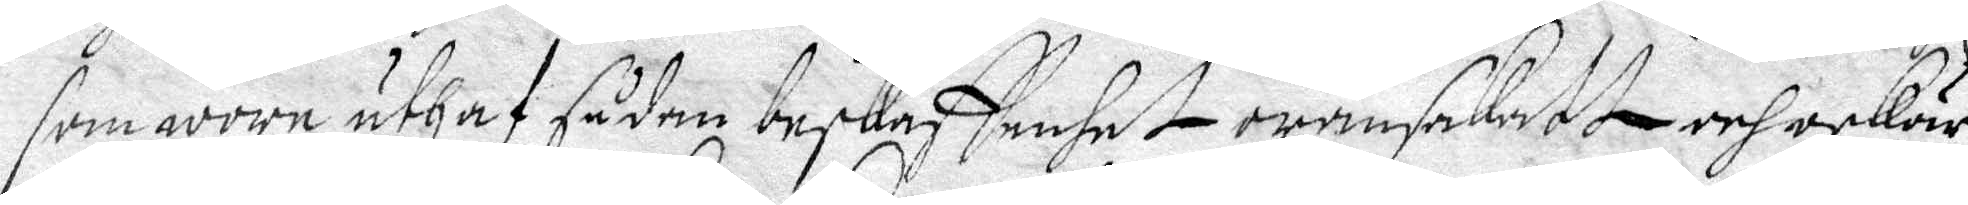som wore uthaf sådan beskaffenhet oransakatt och oskär¬
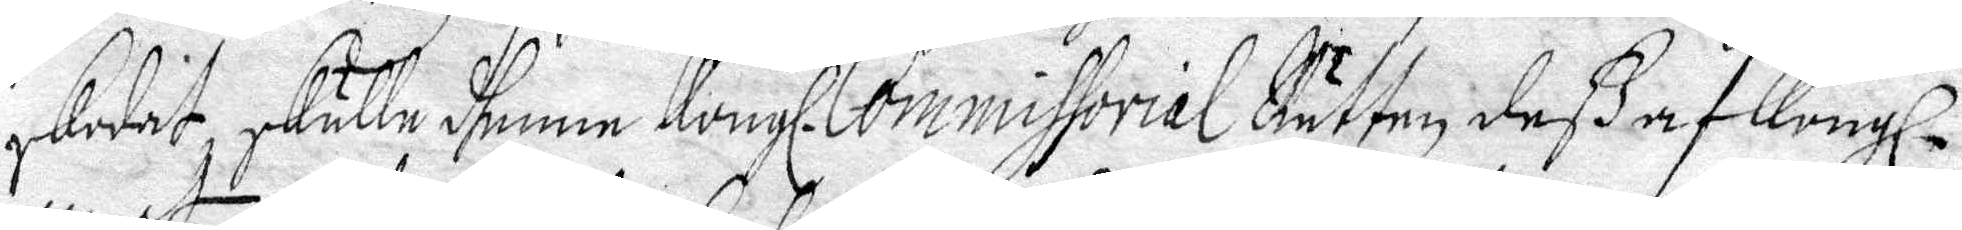skodat, skulle dhenne Kongl. Commissorial Rätten deß af Kongl.
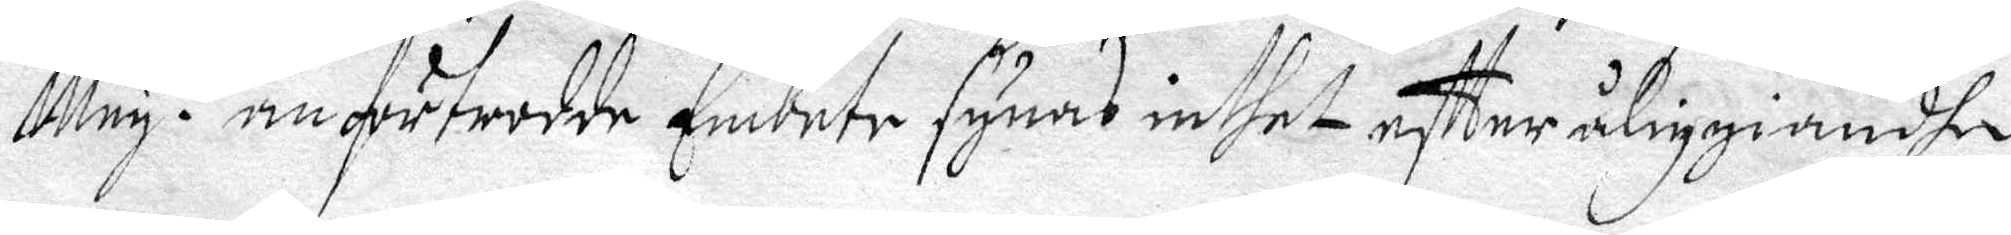May. t anförtrodde Embete synas inthet eftter åliggiandhe
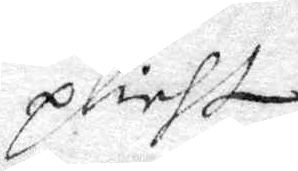plicht
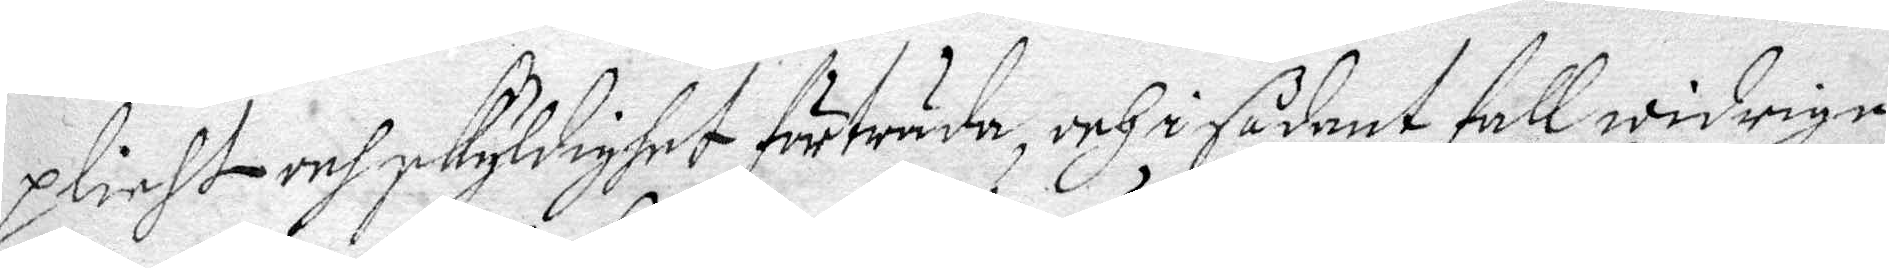plicht och skyldighet förträda, och i sådant fall widrige
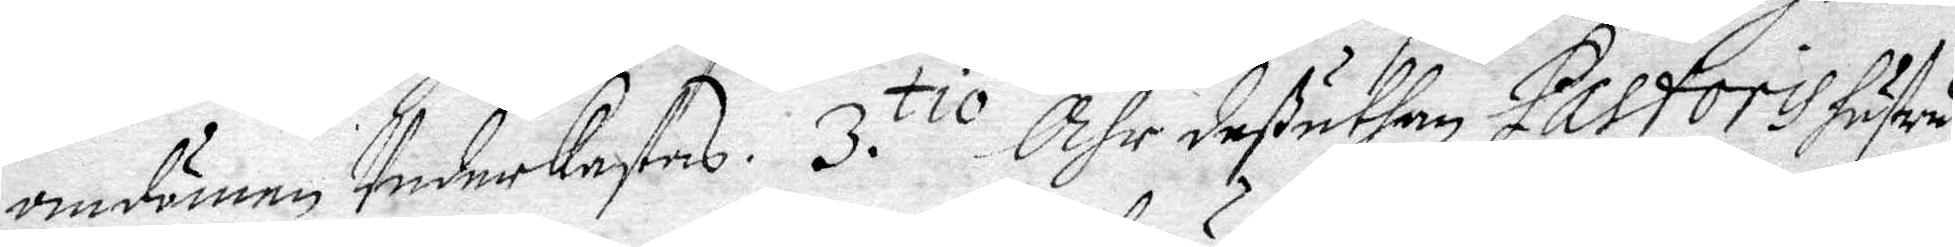omdömen Underkastas. 3. tio Ähr deßuthan Pastoris hustru
